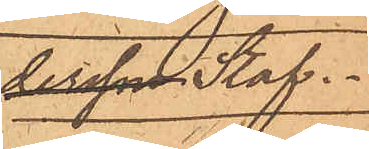dersson Staf.
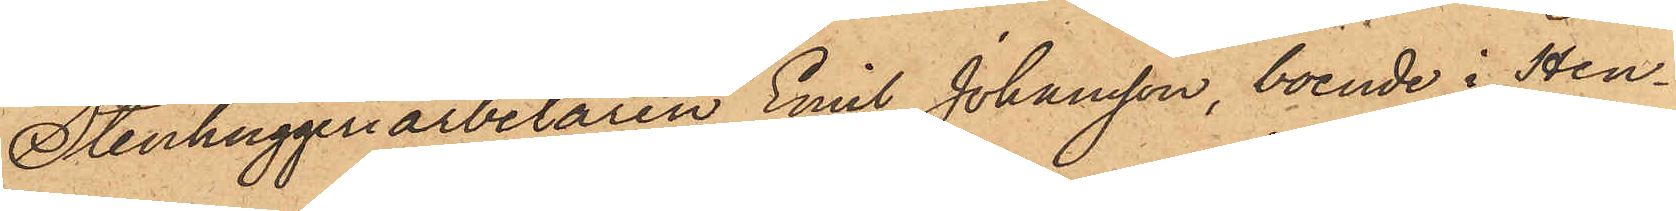Stenhuggeriarbetaren Emil Johansson, boende i Hen¬
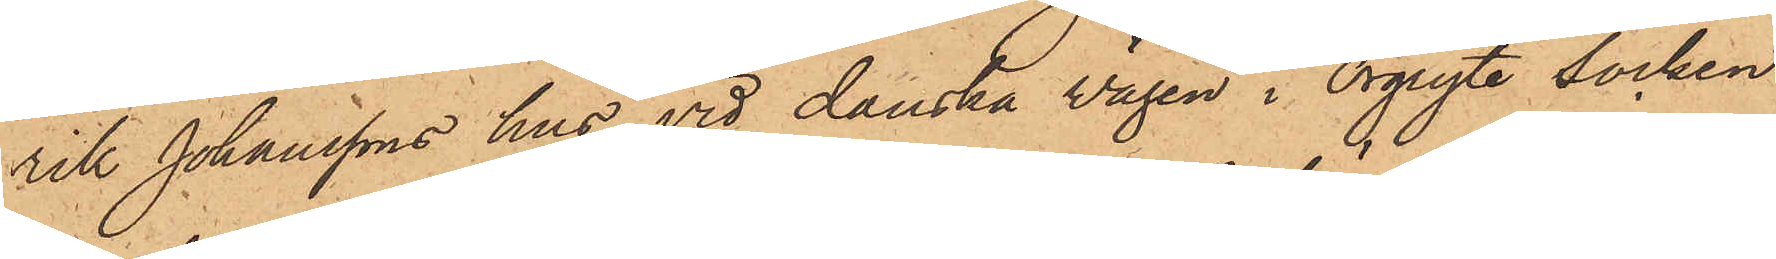rik Johanssons hus vid danska vägen i Örgryte Socken
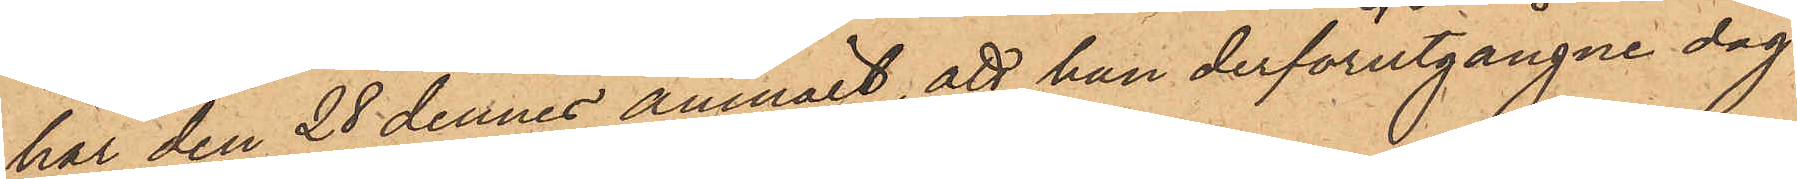har den 28 dennes anmält, att han derförutgångne dag
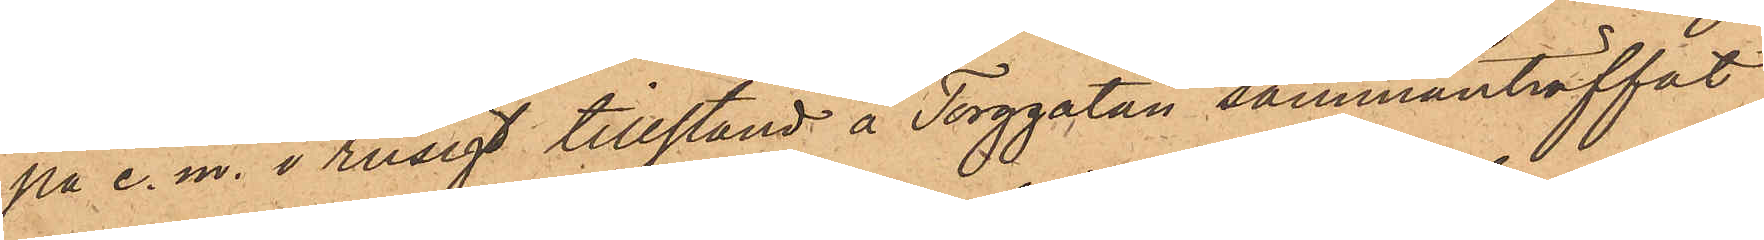på e. m. i rusigt tillstånd å Torggatan sammanträffat
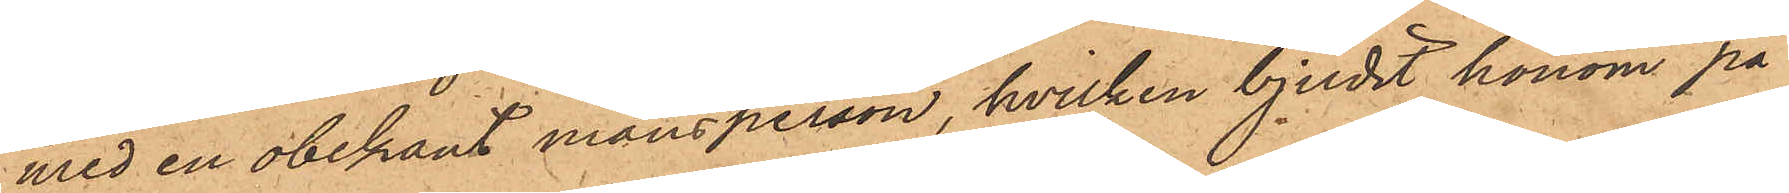med en obekant mansperson, hvilken bjudit honom på
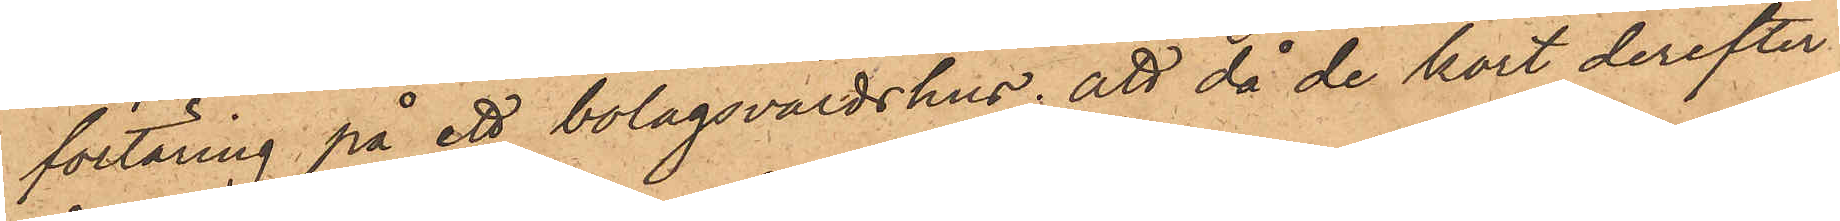förtäring på ett bolagsvärdshus; att då de kort derefter
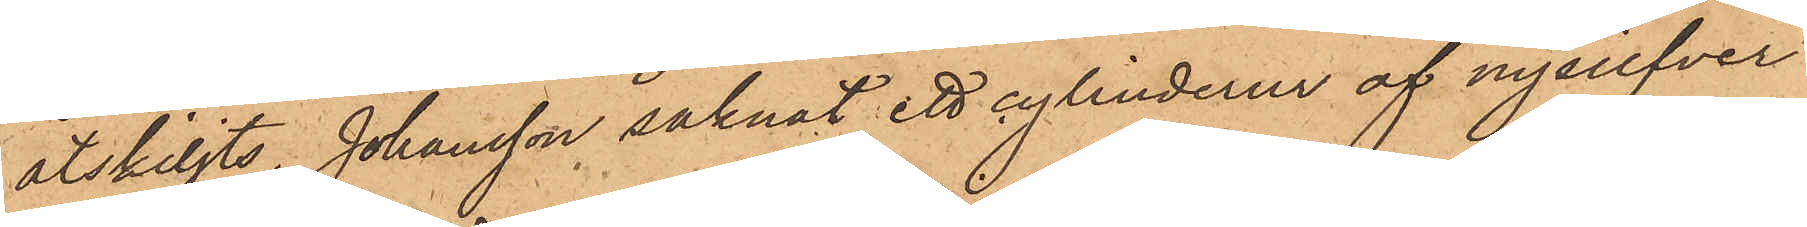åtskiljts, Johansson saknat ett cylinderur af nysilfver
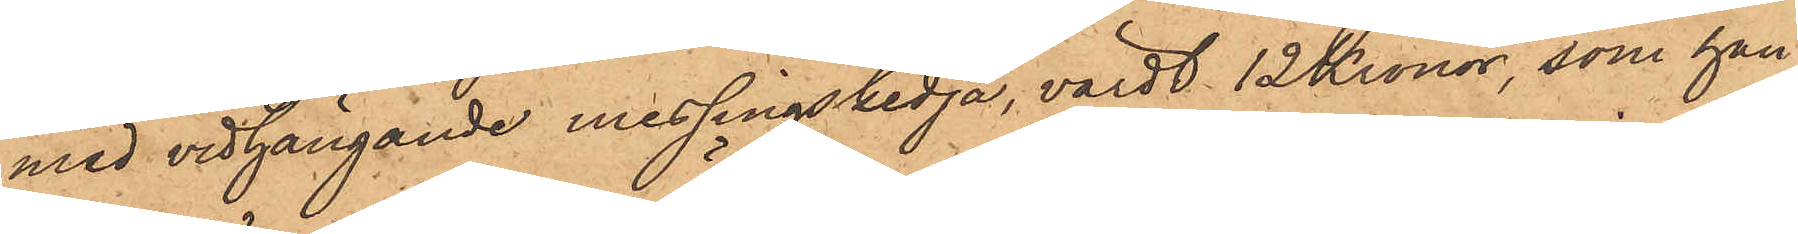med vidhängande messingskedja, värdt 12 Kronor, som han
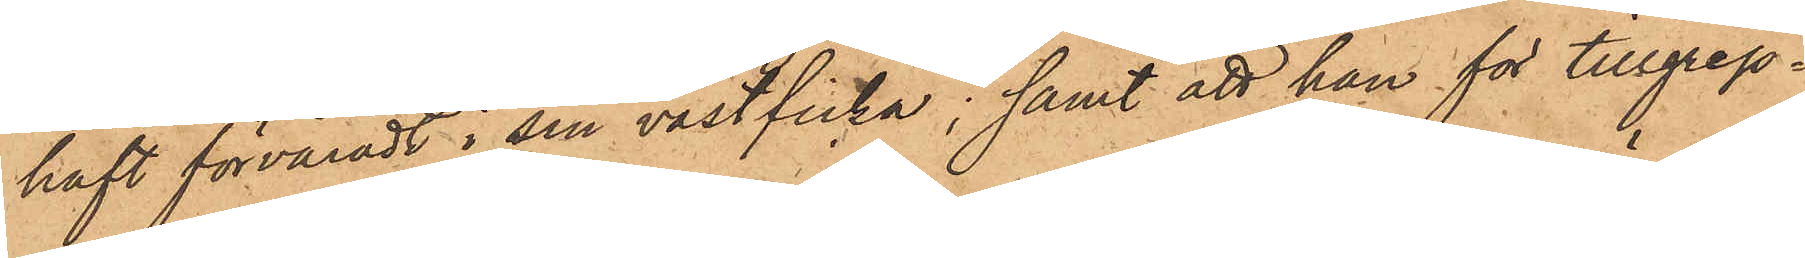haft förvaradt i sin västficka; samt att han för tillgrep¬
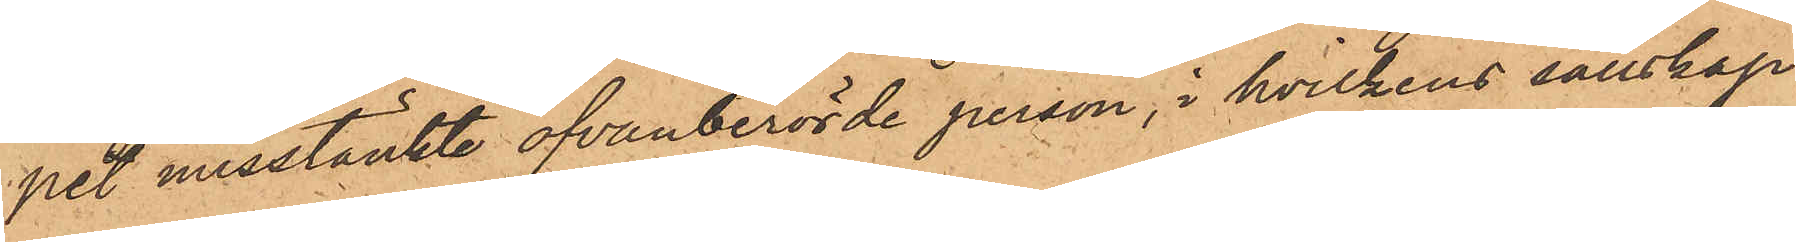pet misstänkte ofvanberörde person, i hvilkens sällskap
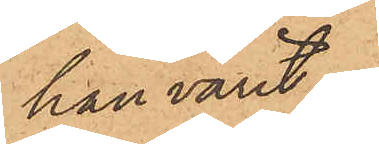han varit.
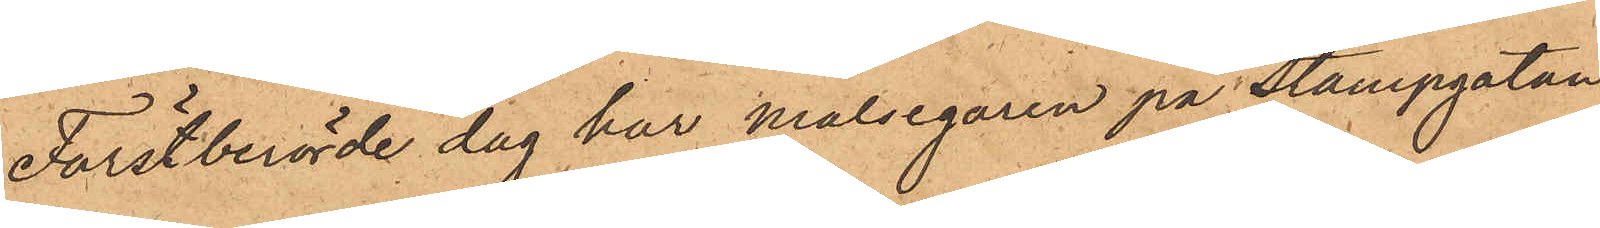Förstberörde dag har målsegaren på Stampgatan
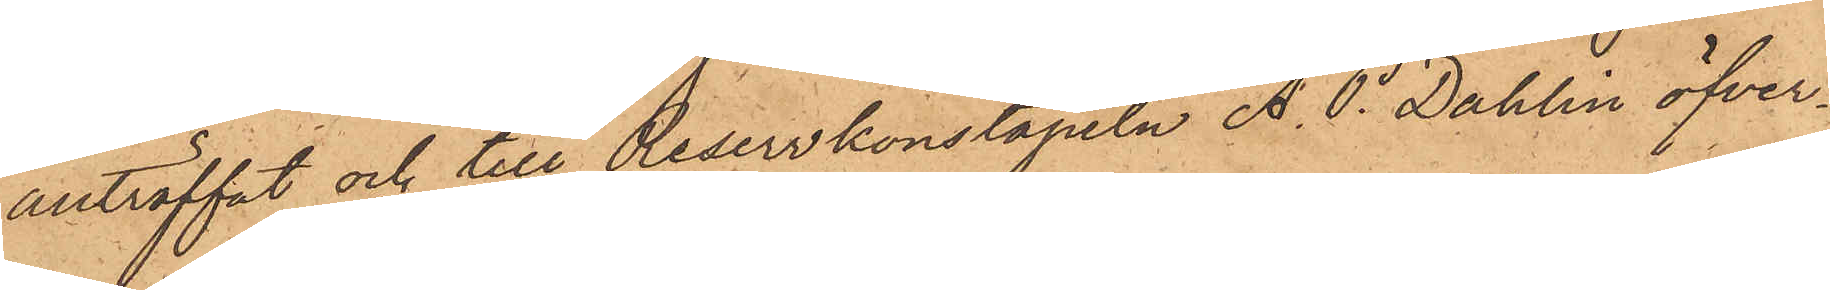anträffat och till Reservkonstapeln A. P. Dahlin öfver¬
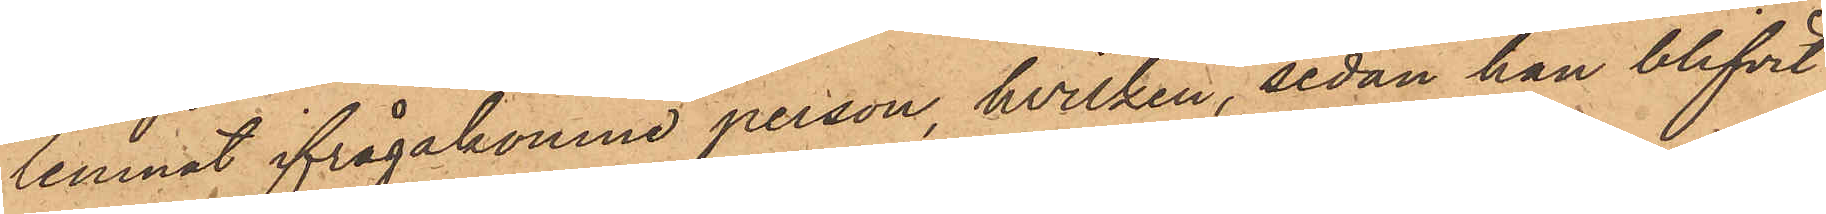lemnat ifrågakomne person, hvilken, sedan han blifvit
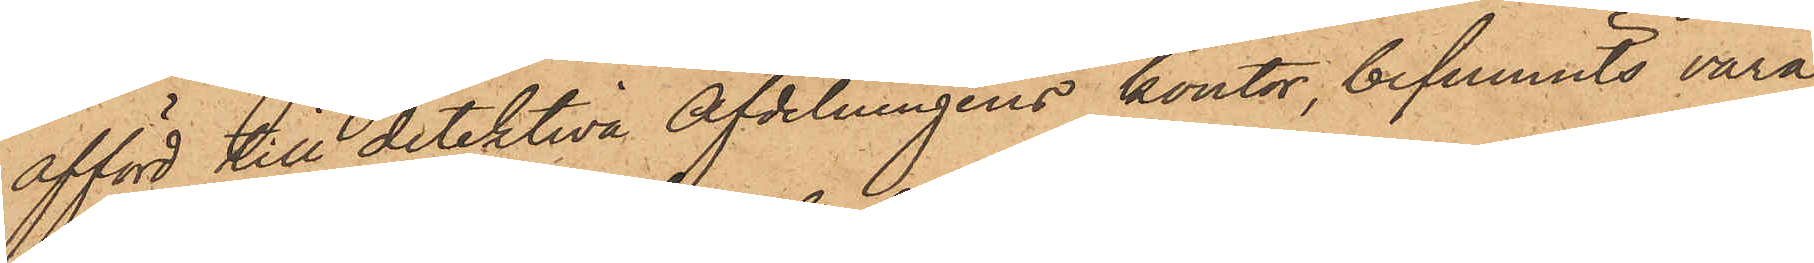afförd till detektiva afdelningens kontor, befunnits vara
